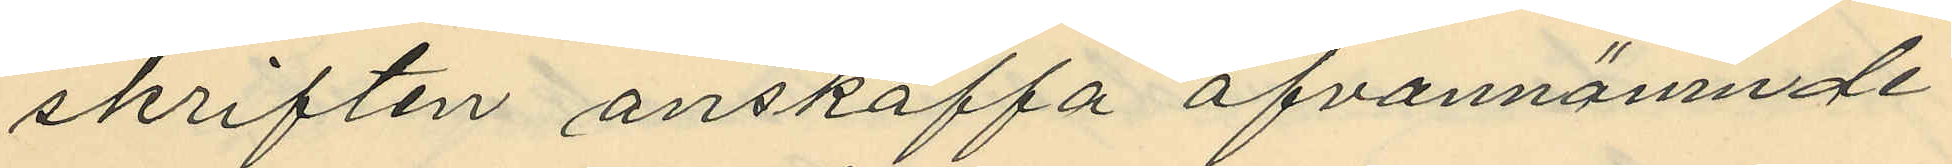skriften anskaffa ofvannämnde
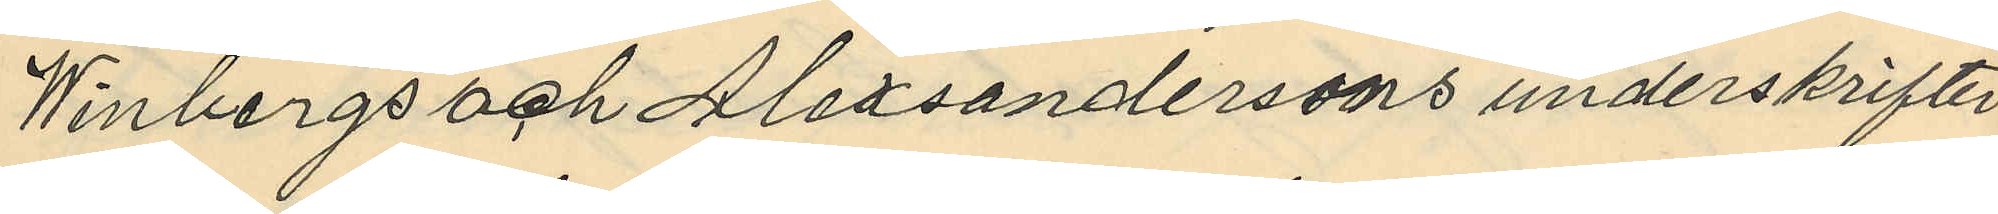Winbergs och Alexsandersons underskrifter
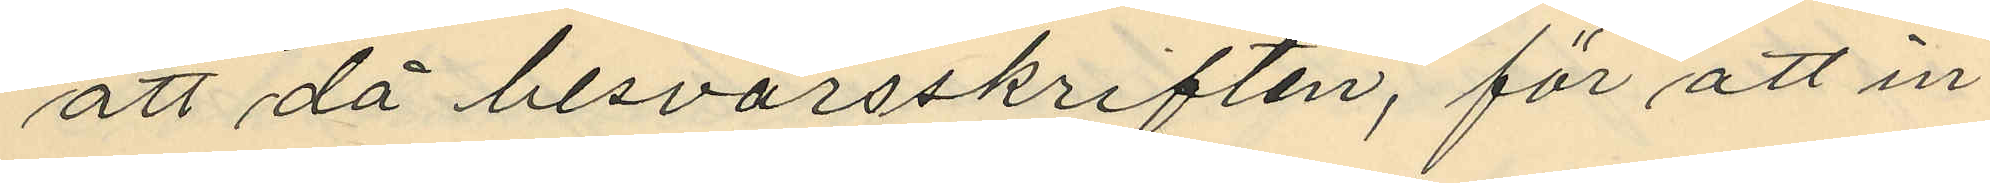att då besvärsskriften, för att in¬
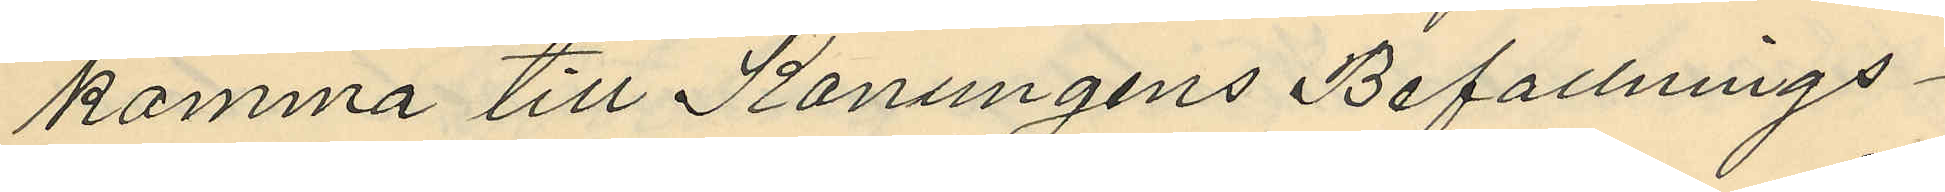komma till Konungens Befallnings¬
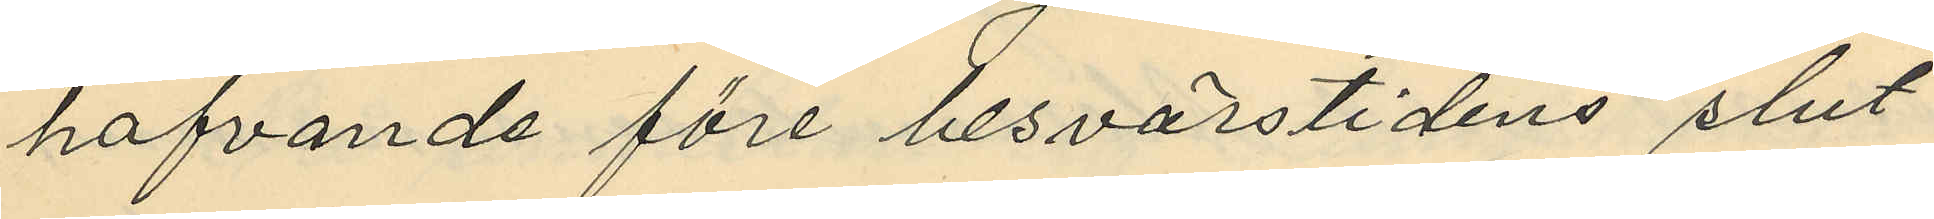hafvande före besvärstidens slut
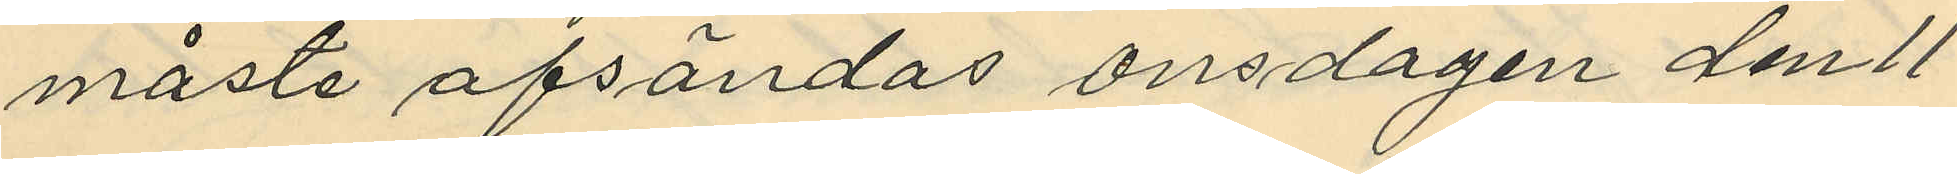måste afsändas onsdagen den 11
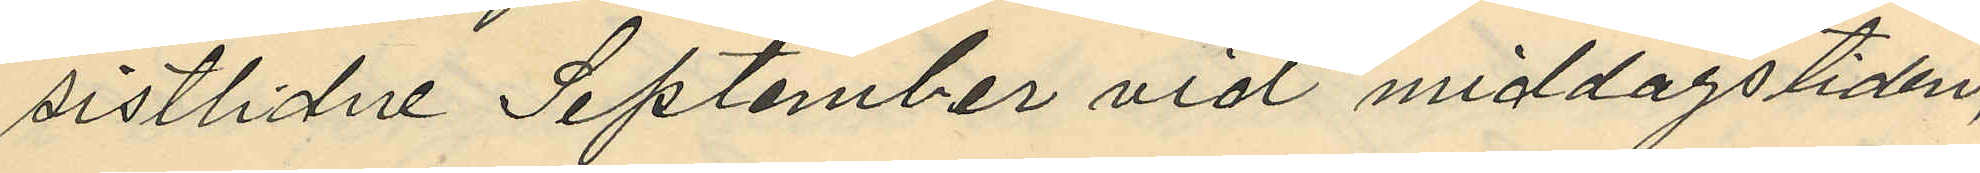sistlidne September vid middagstiden,
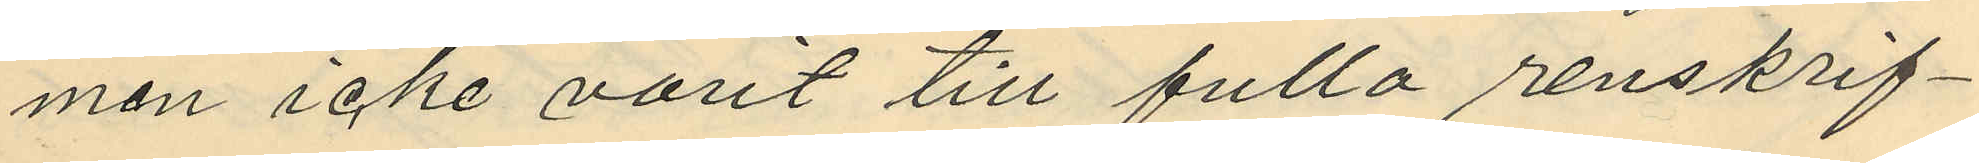men icke varit till fullo renskrif¬
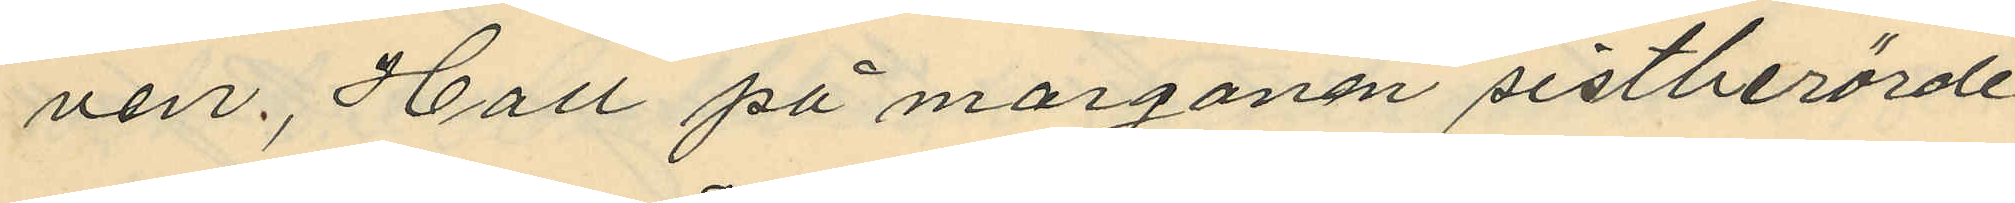ven. Hall på morgonen sistberörde
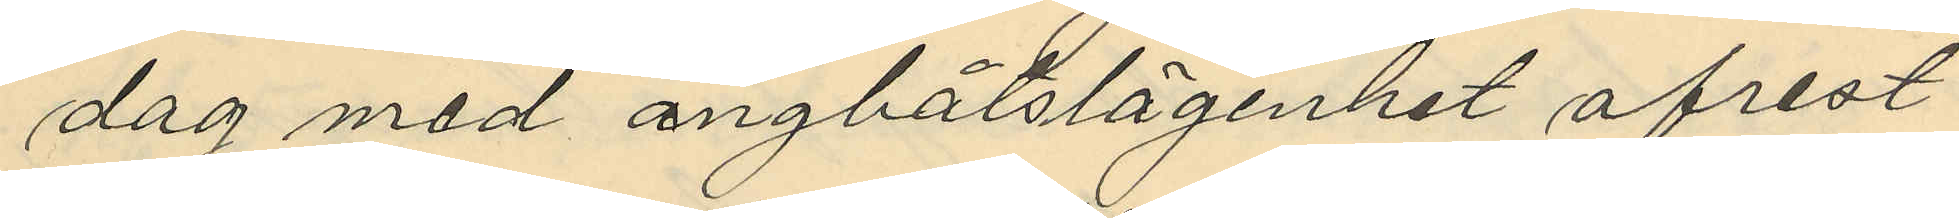dag med ångbåtslägenhet afrest
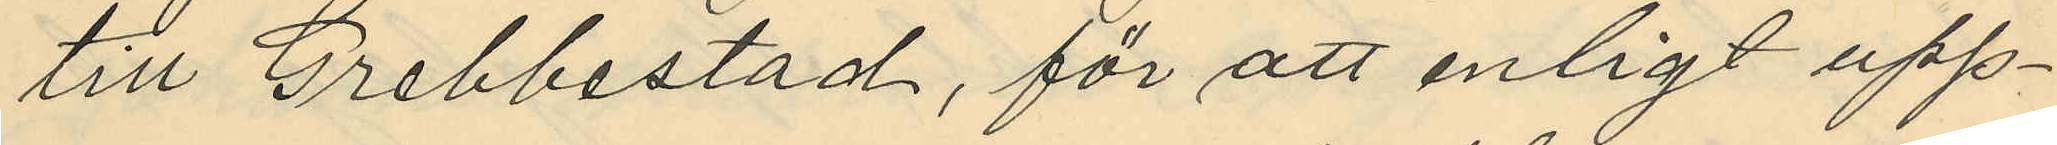till Grebbestad, för att enligt upp¬
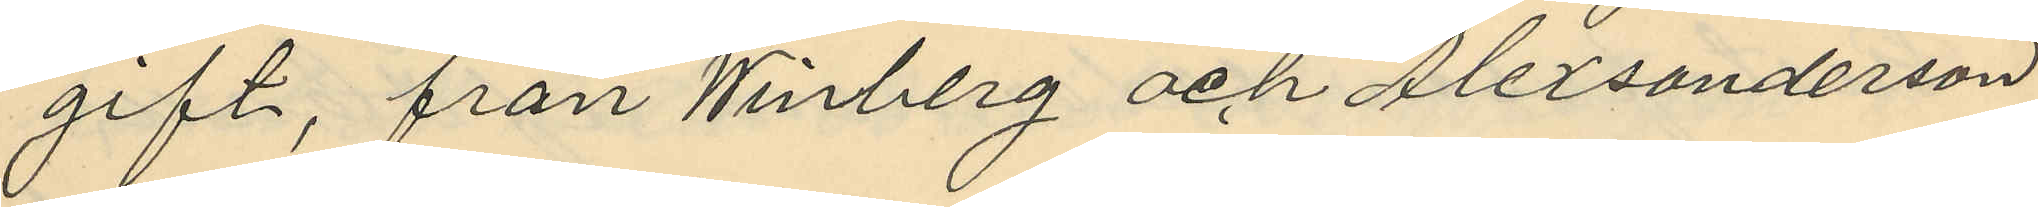gift, från Winberg och Alexanderson
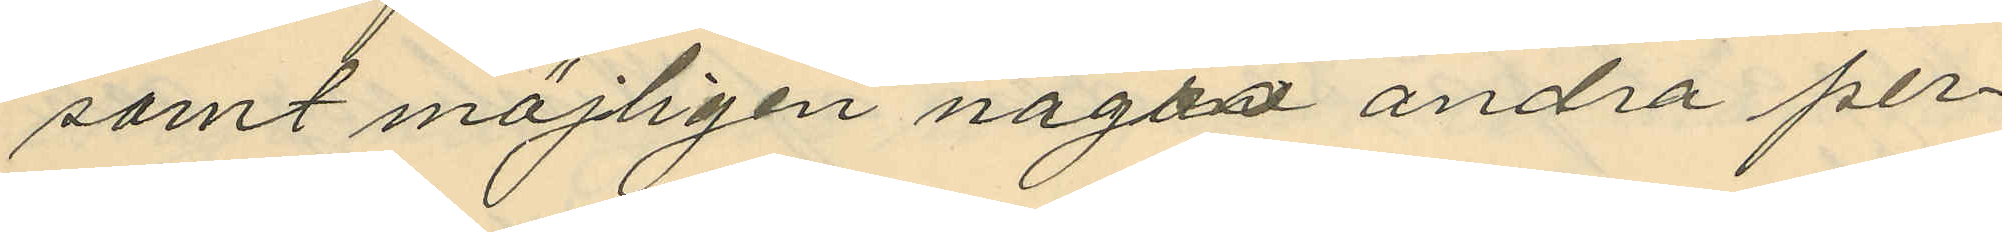samt möjligen någon andra per¬
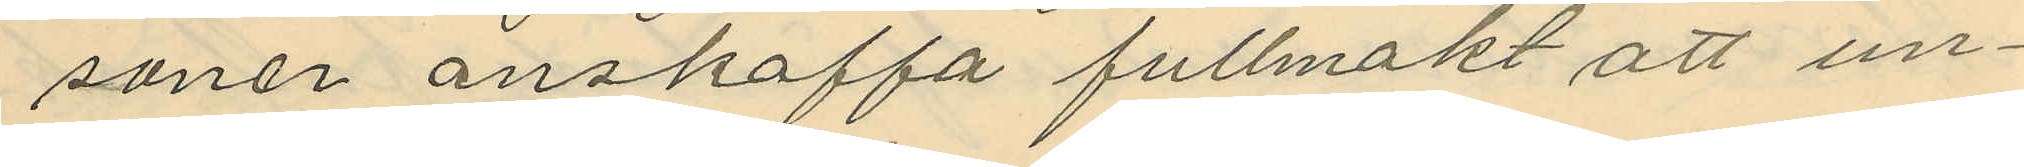soner anskaffa fullmakt att un¬
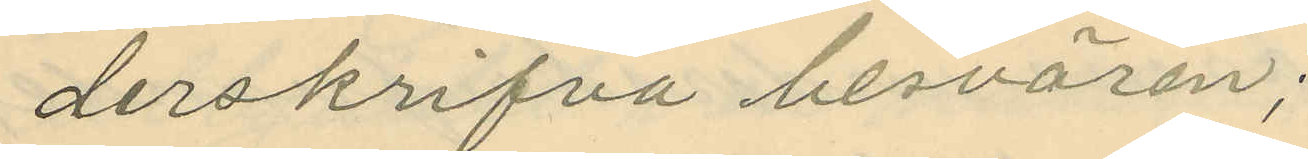derskrifva besvären;
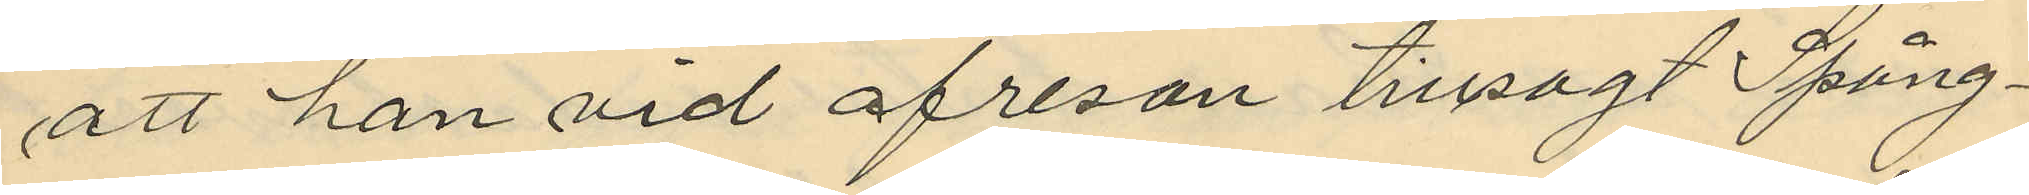att han vid afresan tillsagt Spång¬
